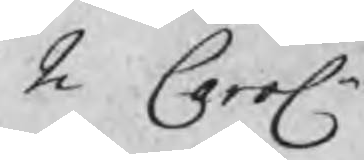2 Carolr
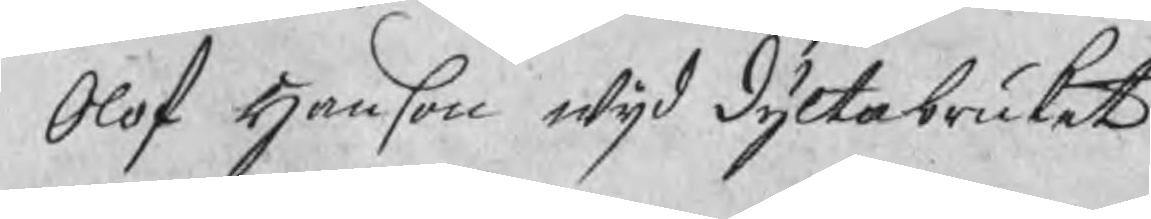Olof Hanson wijd Dyltabruket
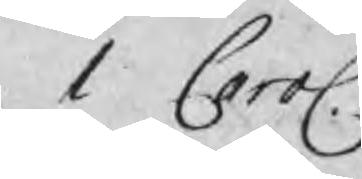1 Carol.
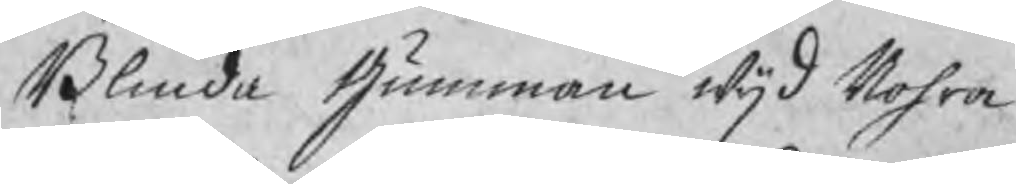Blinda Gumman wijd Nohra
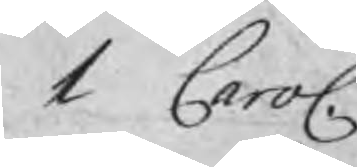1 Carol.
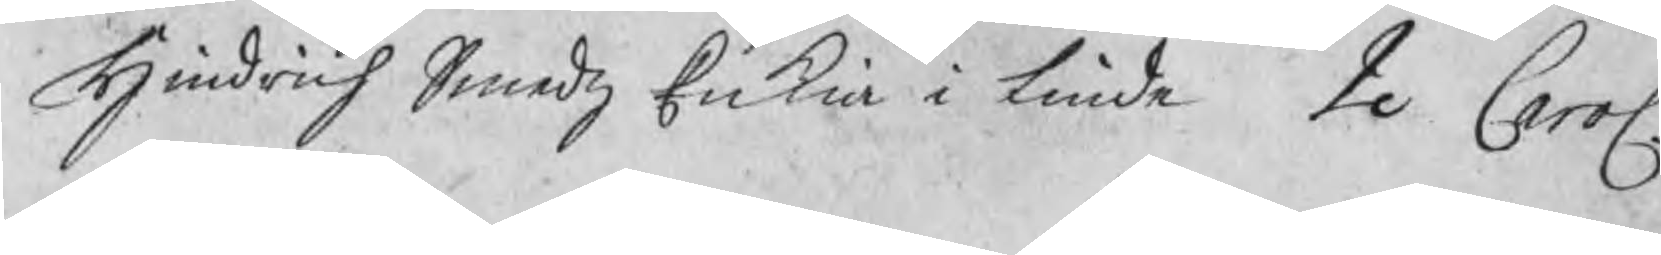Hindrich Smedz Enkia i Linde 2 Carol.
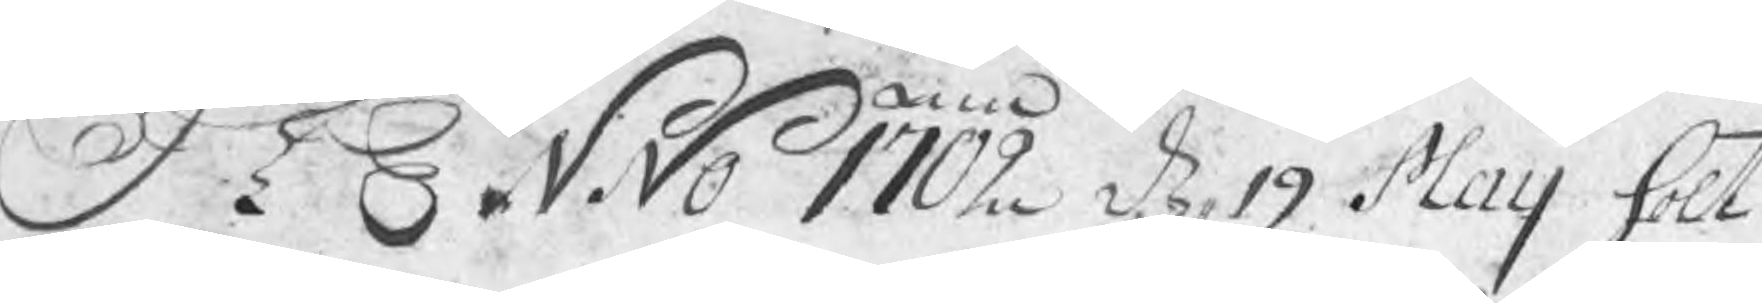ANNO 1702 d 19 Maij hölt
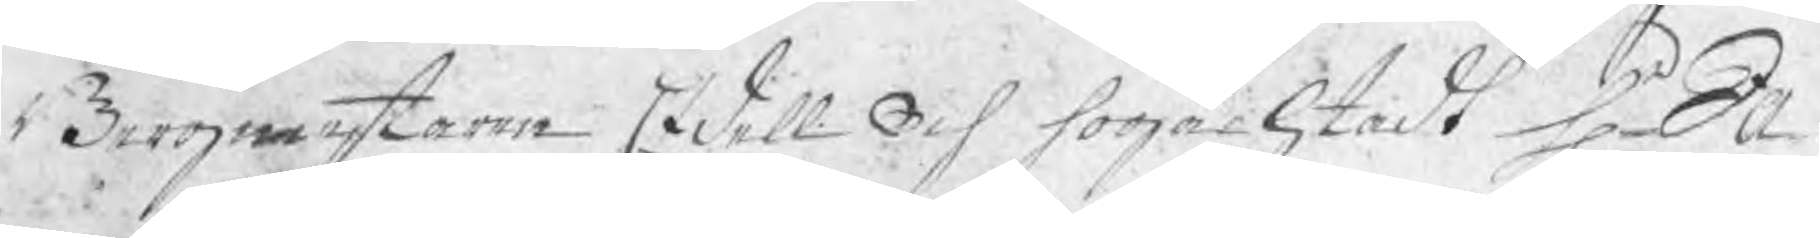Bergmestaren Edell och högachtadt Hr Ja¬
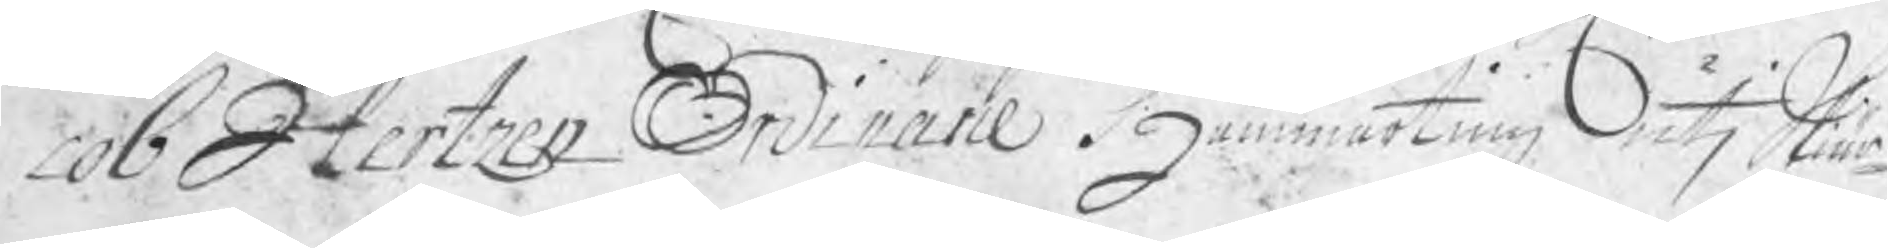cob Hertzen Ordinarie Hammarting uti Skiär¬
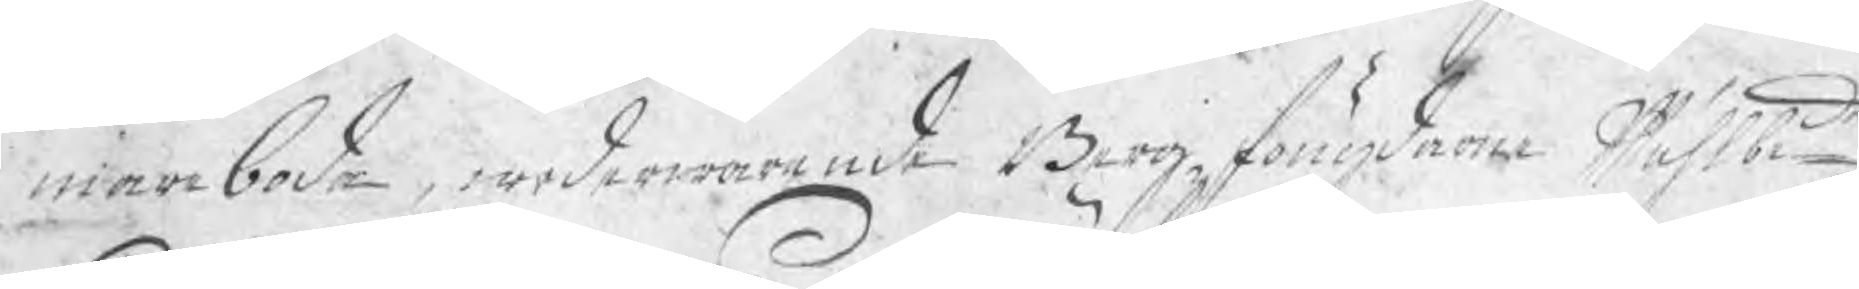mareboda, wederwarande Bergzfougdarne Wälbede
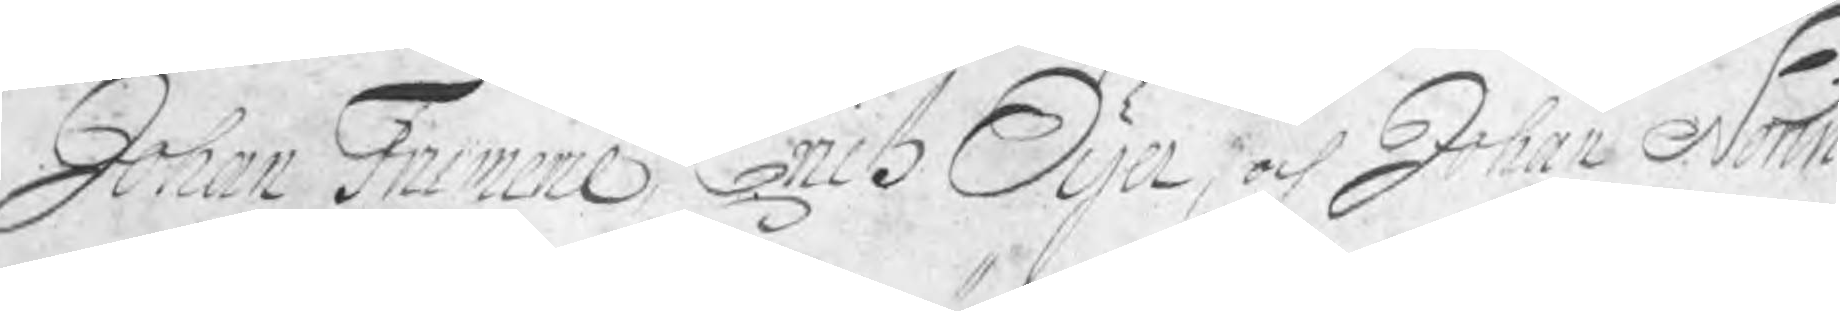Johan Frumerie, Erich Öijer, och Johan Norin
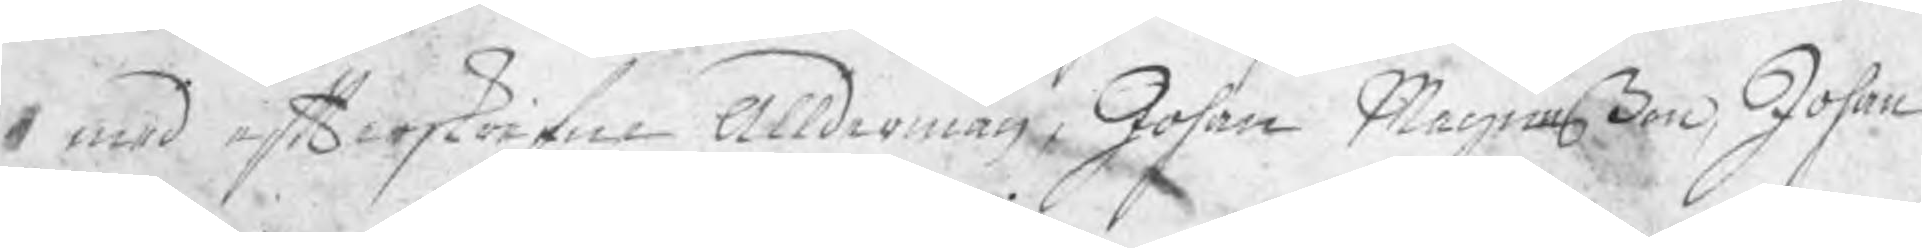med efterskrifne Alldermän, Johan Magnußon, Johan
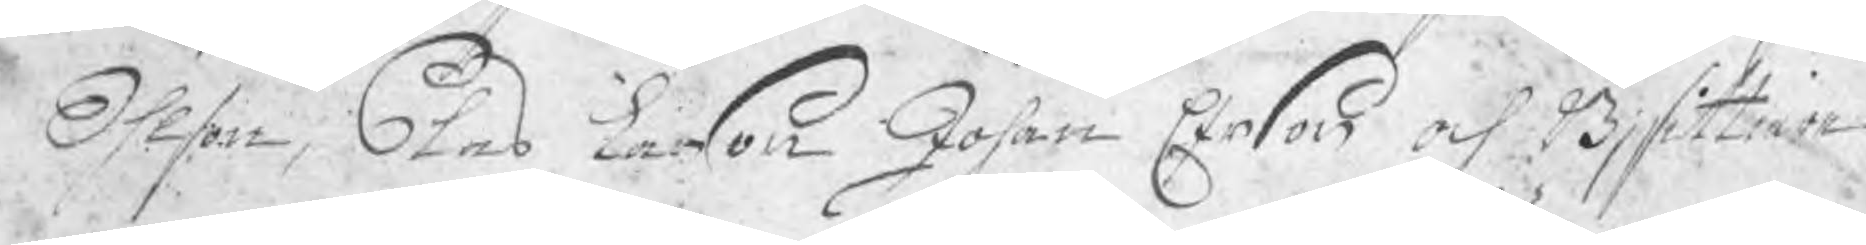Ohlson, Clas Larson Johan Erson och Bjsittiare
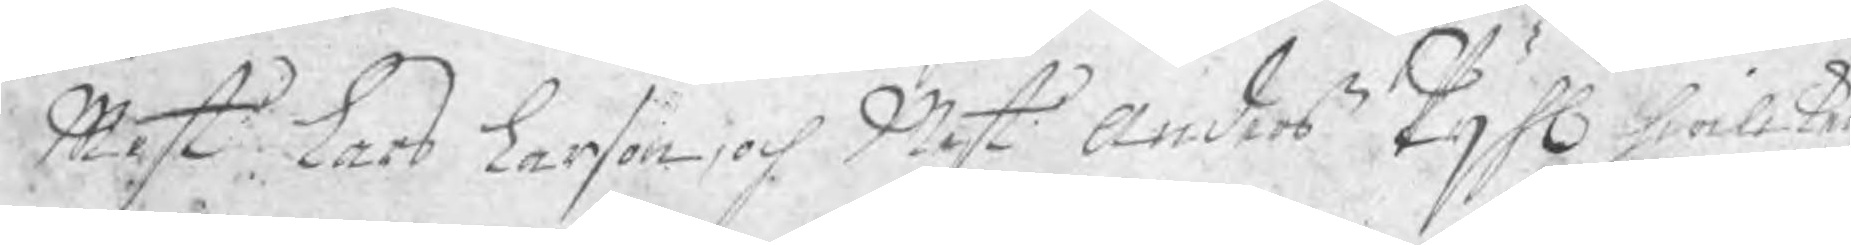Mest Lars Larson, och Mest Anders Pijhl hwilken 
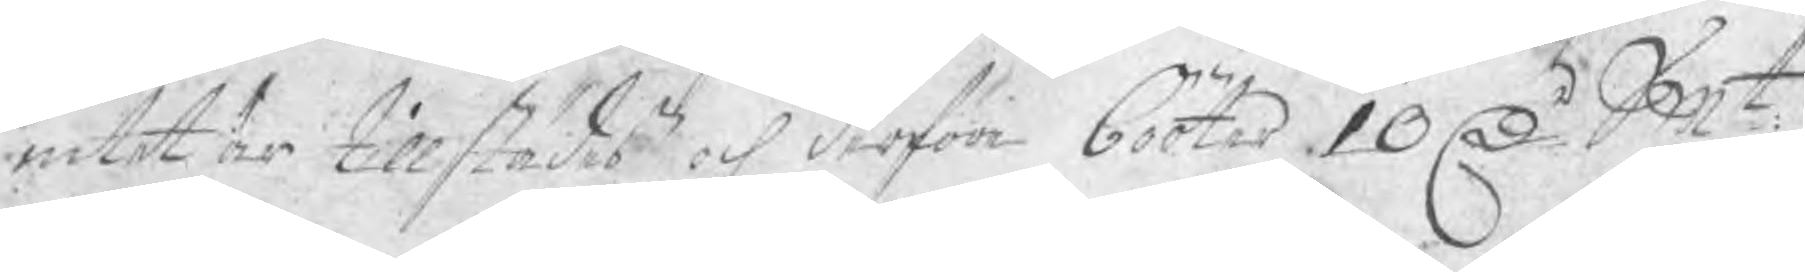intet är tillstädes och derföre bööter 10 D Smt
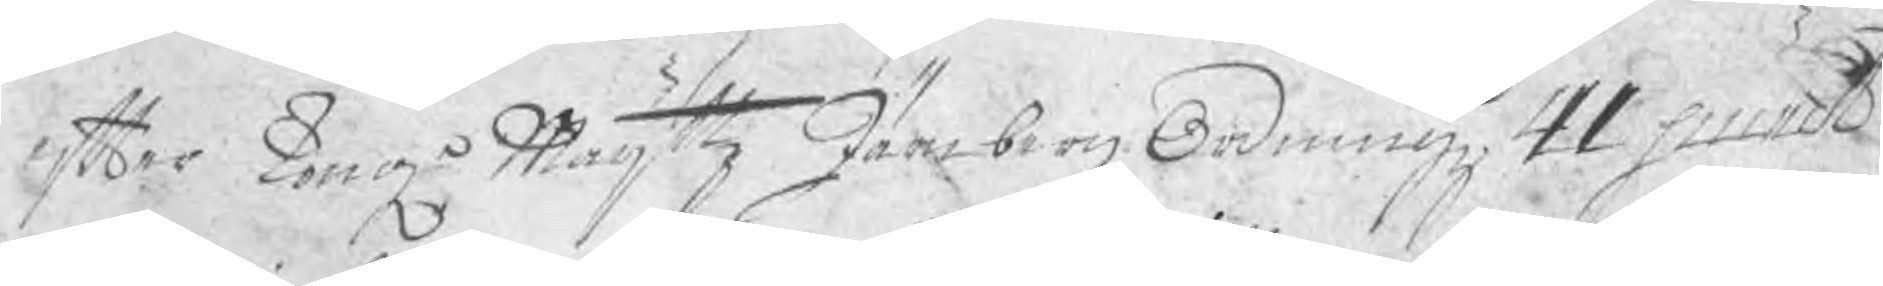efter Kong Maijttz JärnbergzOrdningz 41 punct
